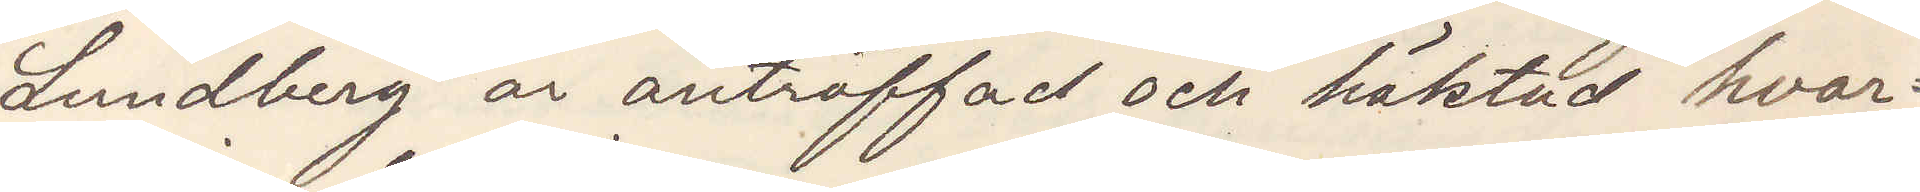Lundberg är anträffad och häktad hvar¬
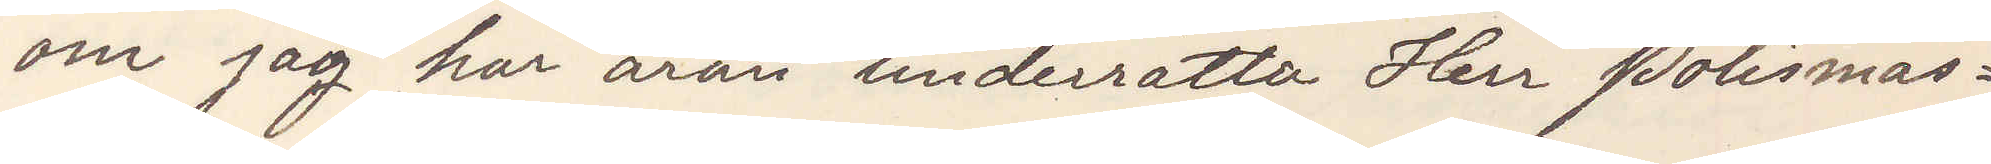om jag har äran underrätta Herr Polismäs¬
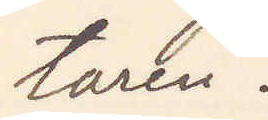taren
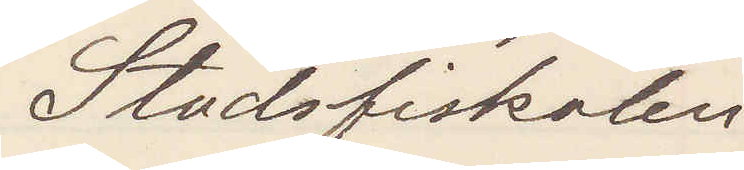Stadsfiskalen
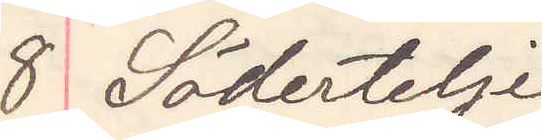8 Södertelje
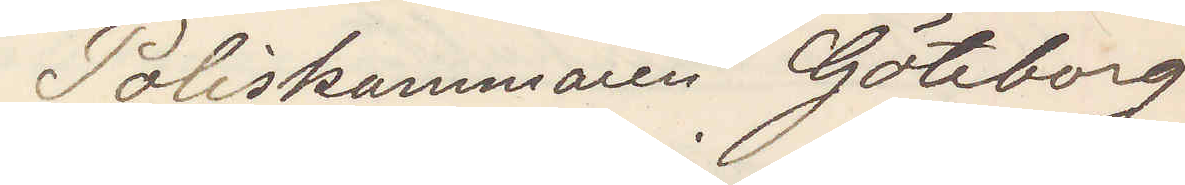Poliskammaren Göteborg
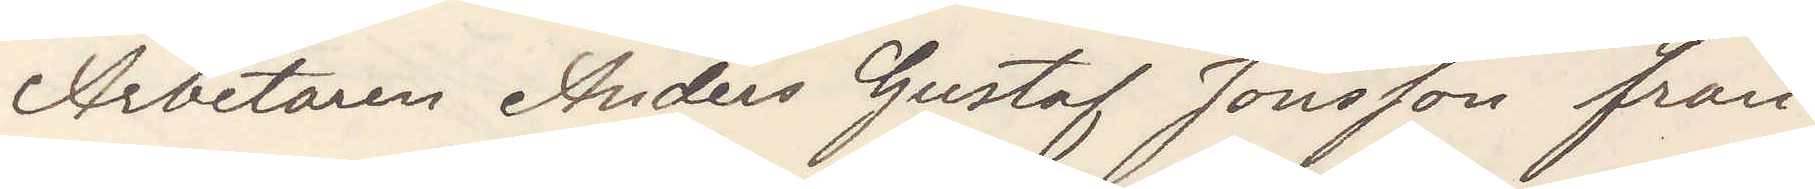Arbetaren Andes Gustaf Jonsson från
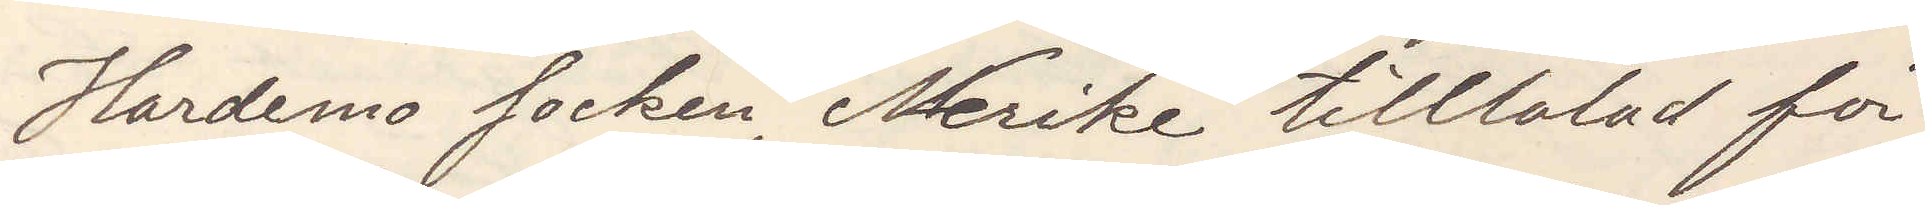Hardemo socken, Nerike tilltalad för
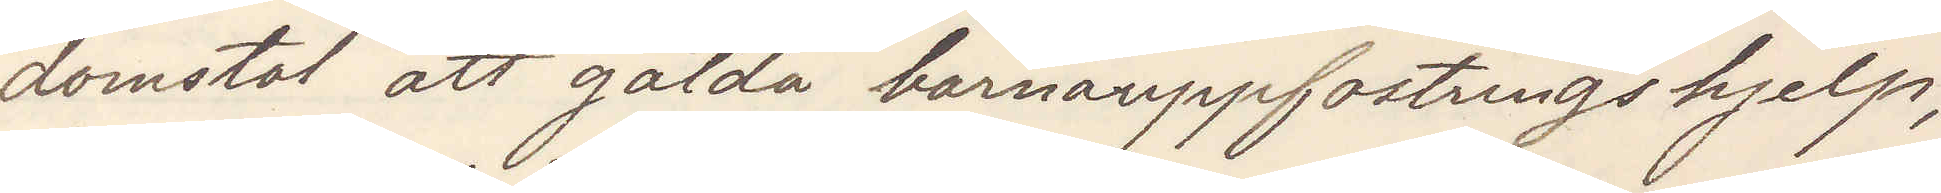domstol att gälda barnuppfostringshjelp,
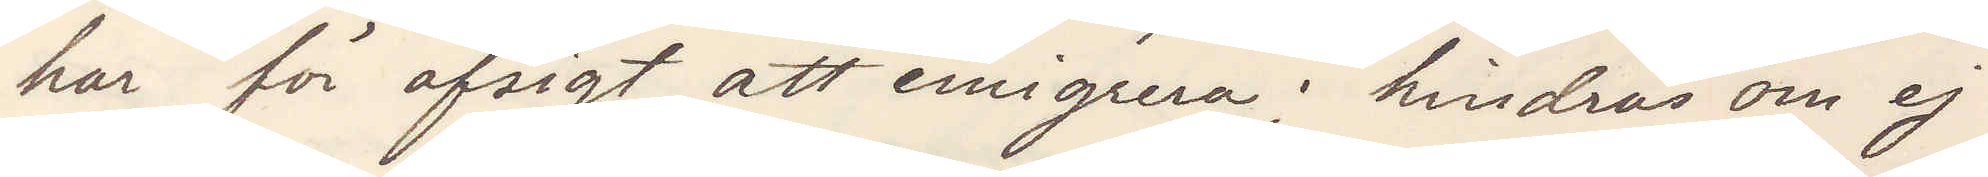har för afsigt att emigrera; hindras om ej
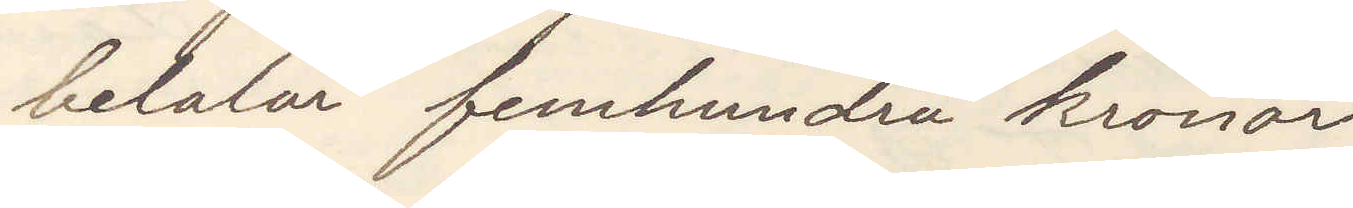betalar femhundra kronor
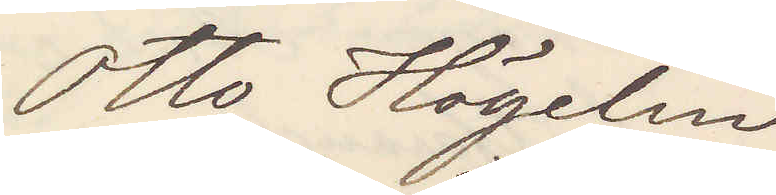Otto Högelin
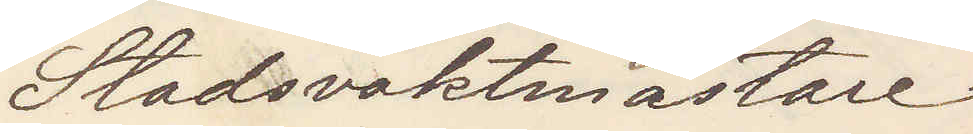Stadsvaktmästare
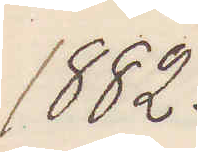1882.
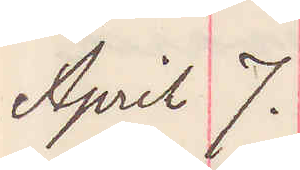April 7.
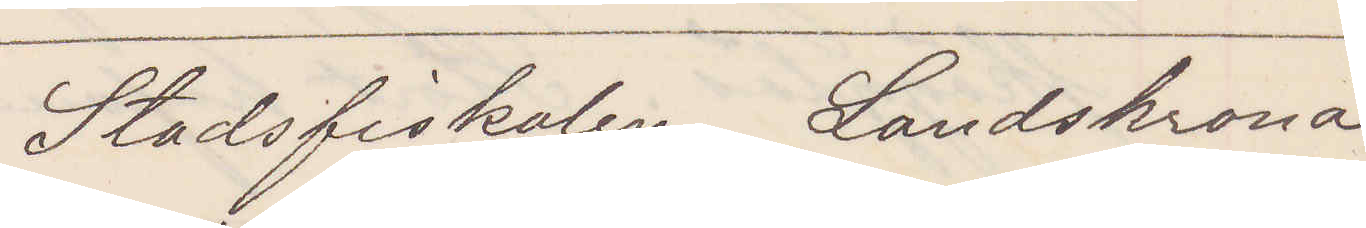Stadsfiskalen Landskrona
